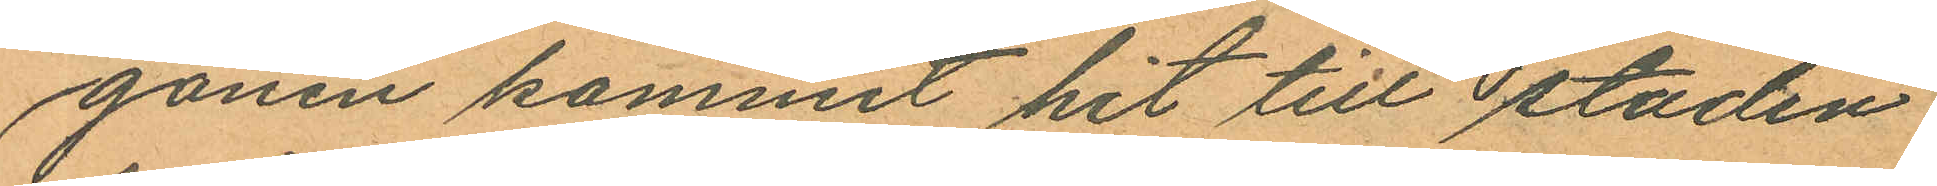gonen kommit hit till staden
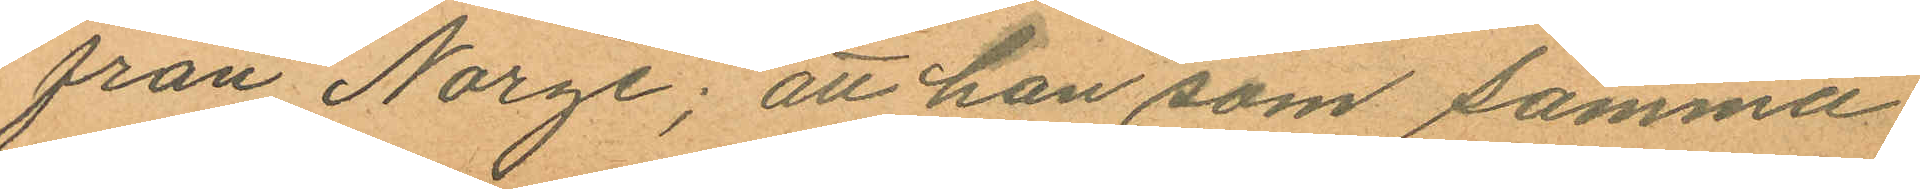från Norge; att han som samma
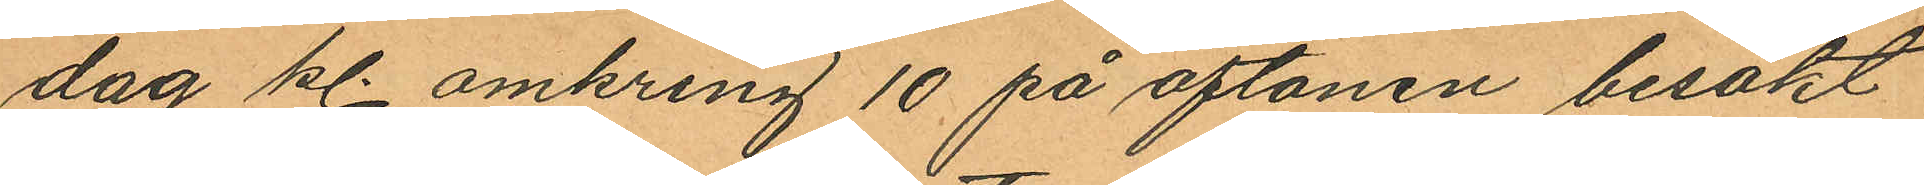dag kl. omkring 10 på aftonen besökt
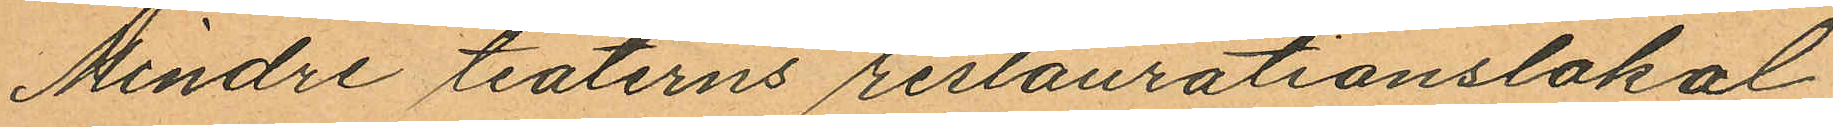Mindre teaterns restaurationslokal
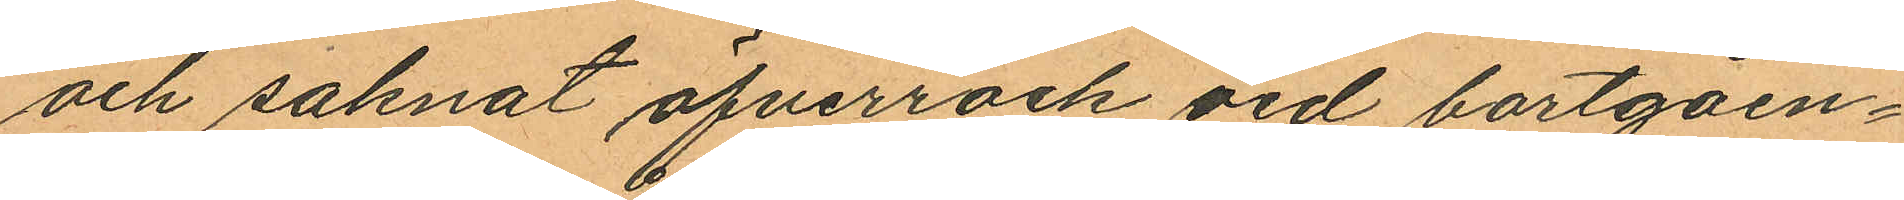och saknat öfverrock vid bortgåen¬
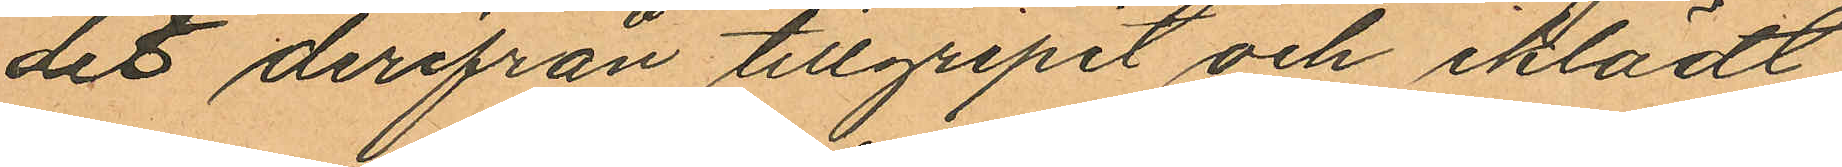det derifrån tillgripit och iklädt
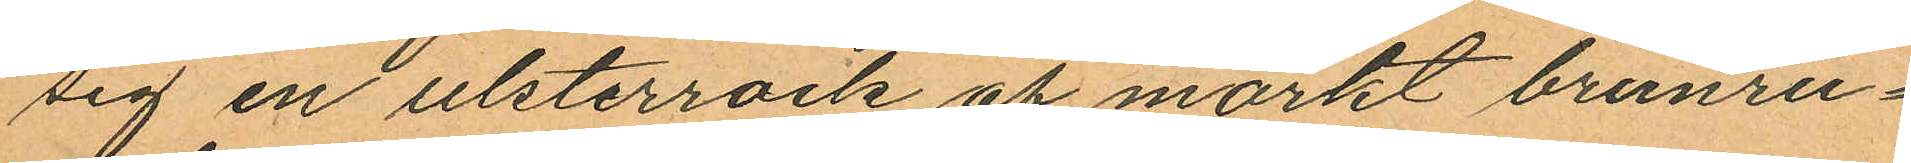sig en ulsterrock af mörkt brunru¬
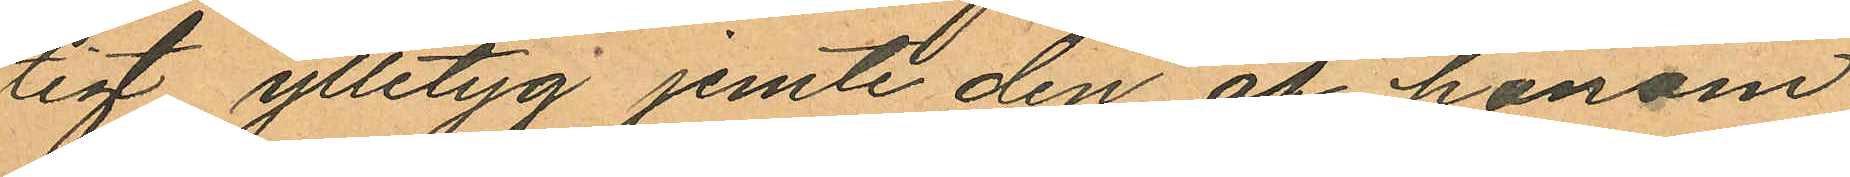tigt ylletyg jemte den af honom
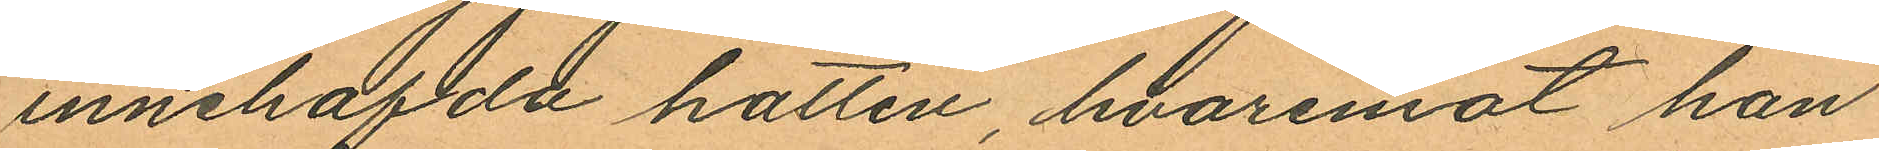innehafda hatten, hvaremot han
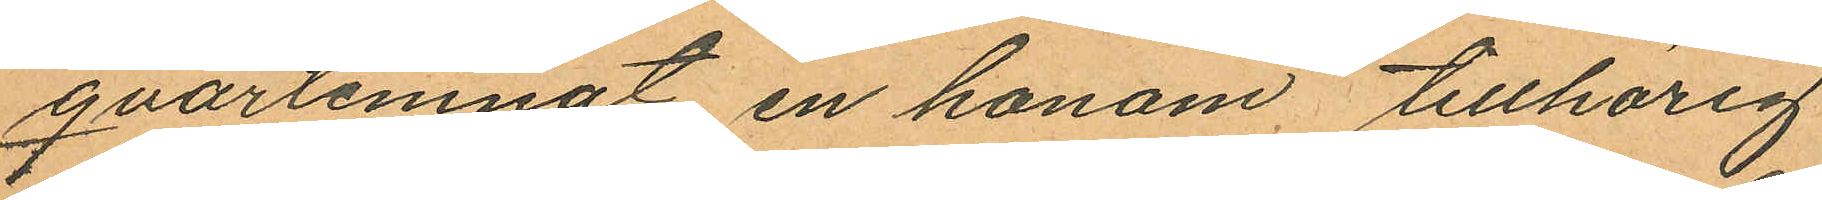qvarlemnat en honom tillhörig
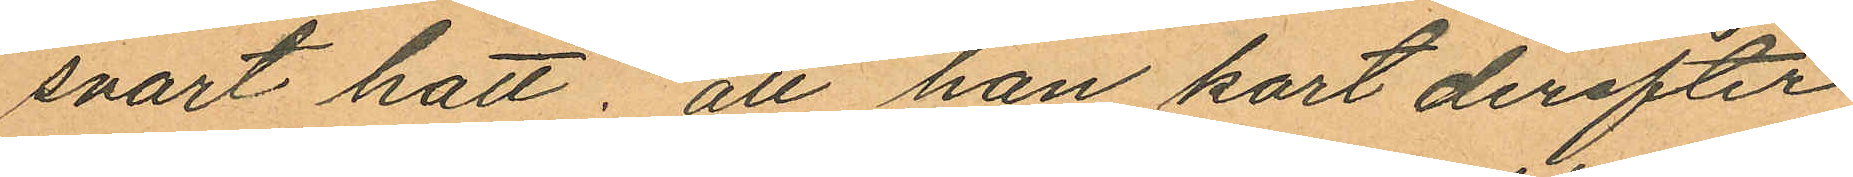svart hatt. att han kort derefter
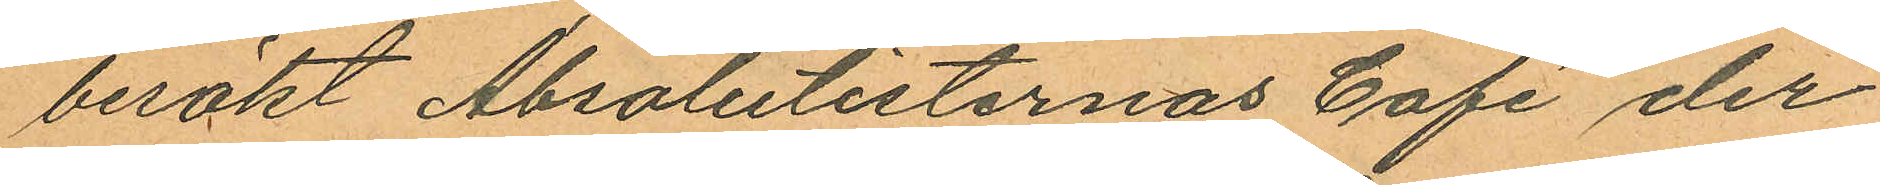besökt Absolutisternas Café der
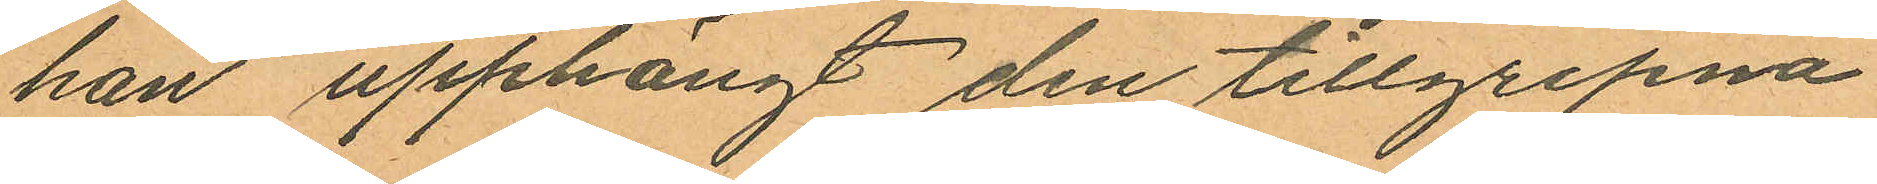han upphängt den tillgripna
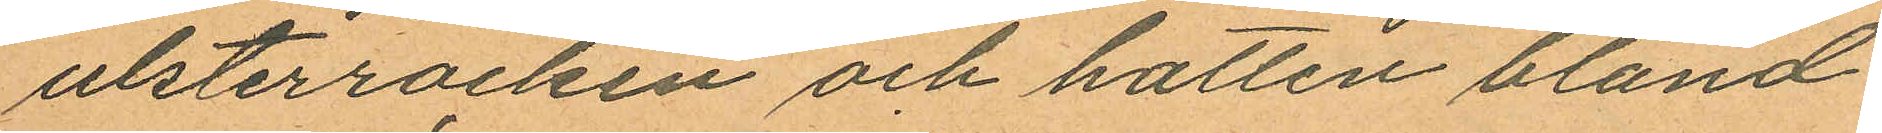ulsterrocken och hatten bland
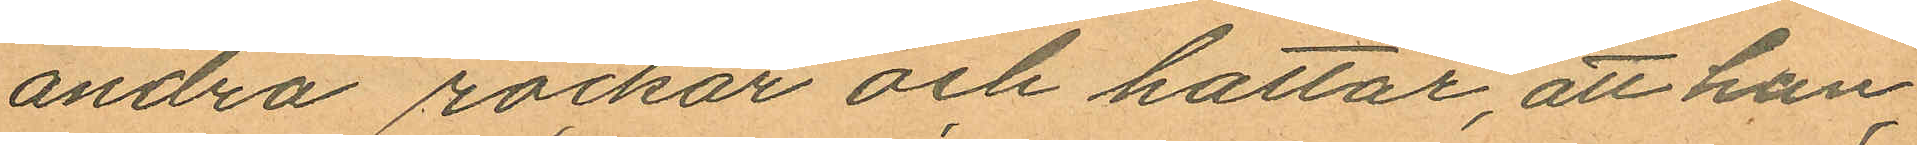andra rockar och hattar, att han,
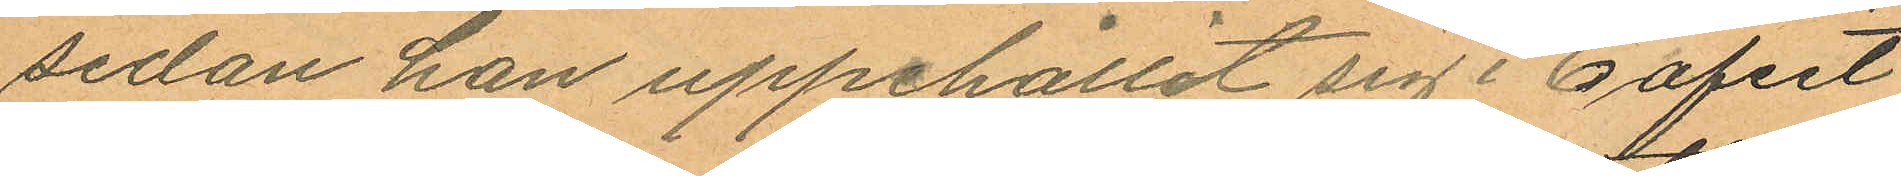sedan han uppehållit sig i Caféet
